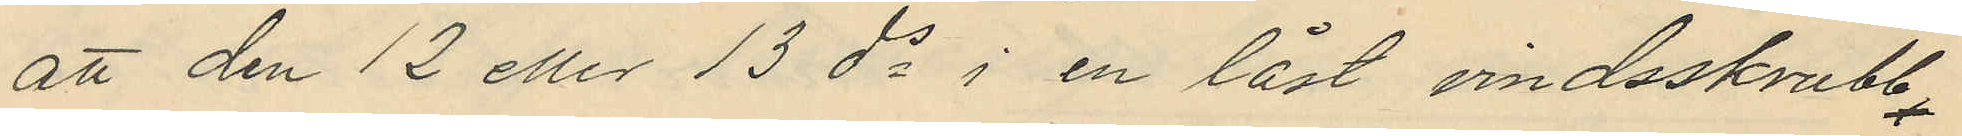att den 12 eller 13 ds i en låst vindsskrubb
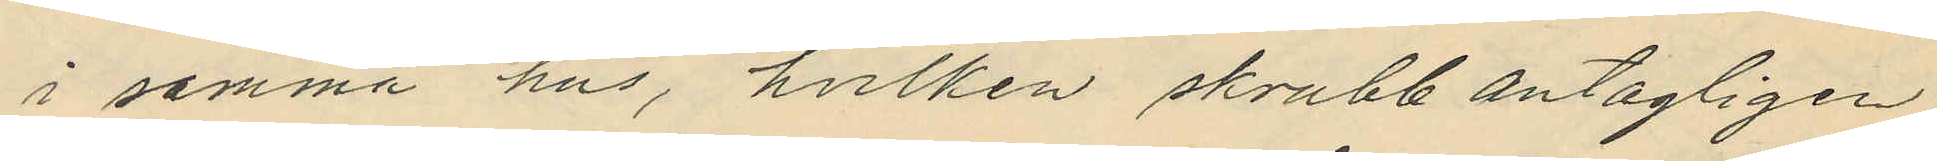i samma hus, hvilken skrubb antagligen
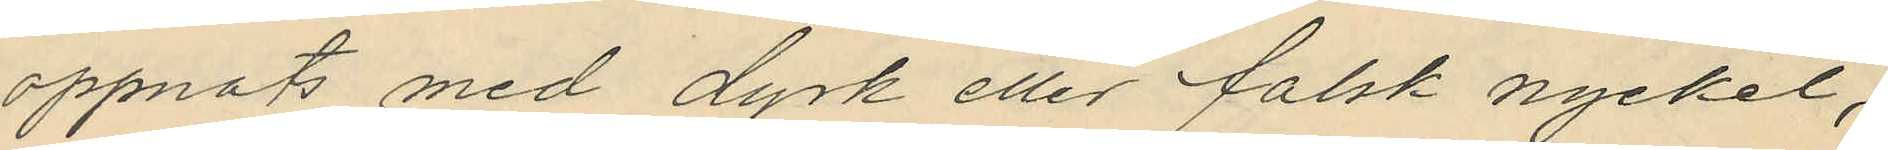öppnats med dyrk eller falsk nyckel,
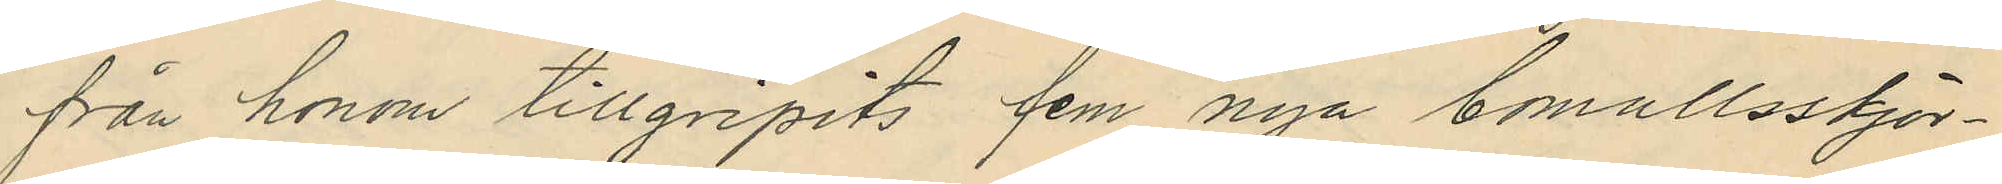från honom tillgripits fem nya bomullsskjor¬
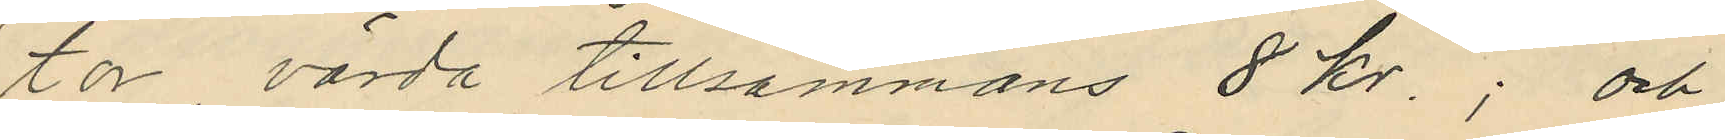tor värda tillsammans 8 kr.; och
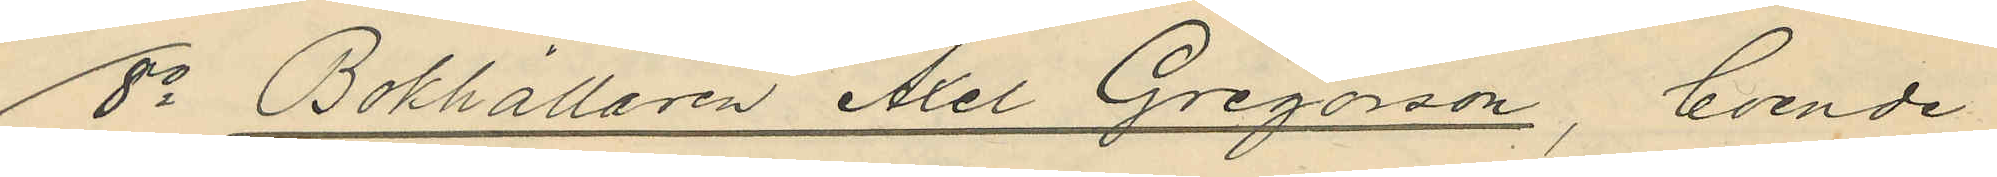8o Bokhållaren Axel Gregorson, boende
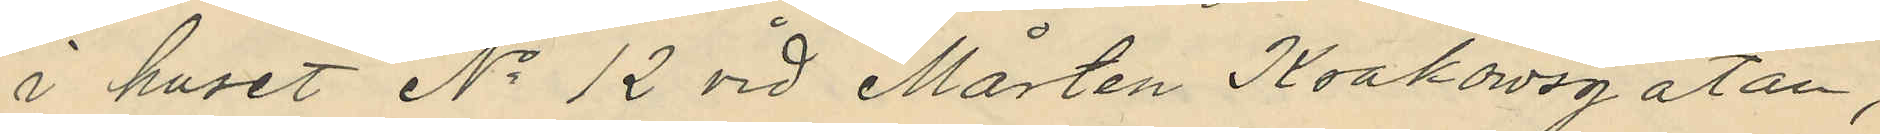i huset No 12 vid Mårten Krakowsgatan,
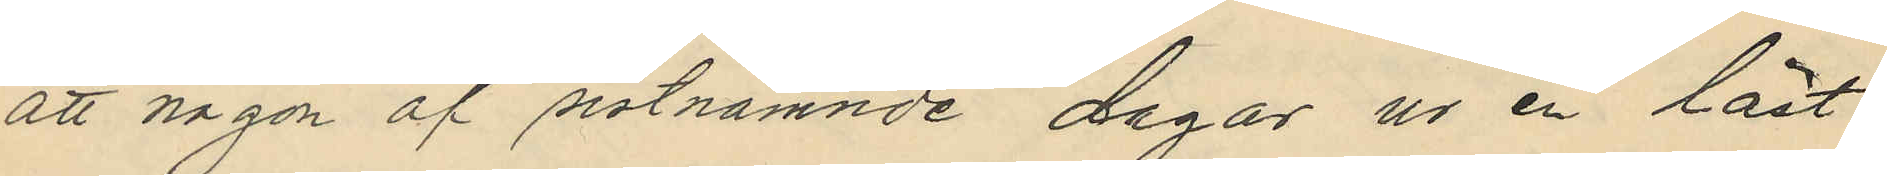att någon af sistnämnde dagar ur en låst
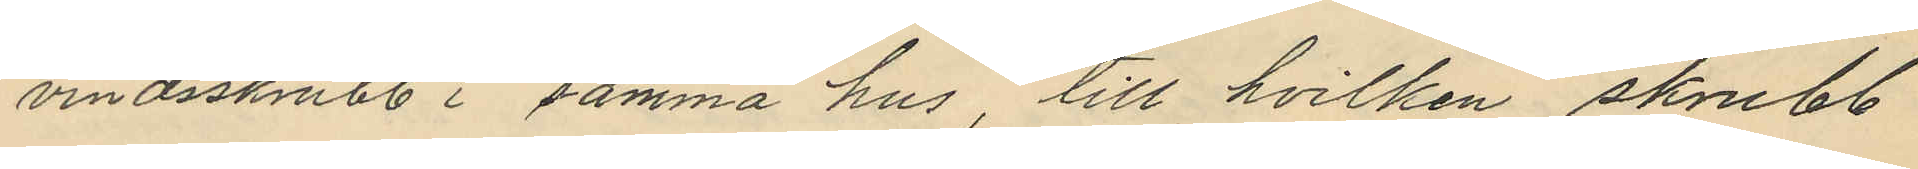vindsskrubb i samma hus, till hvilken skrubb
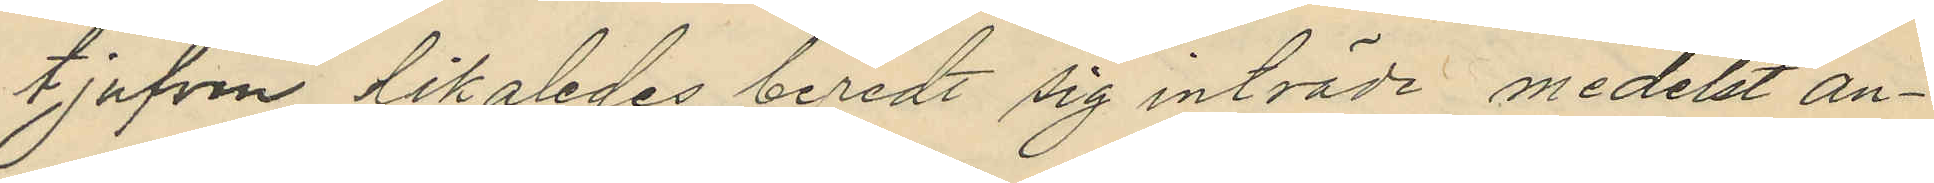tjufven likaledes beredt sig inträde medelst an¬
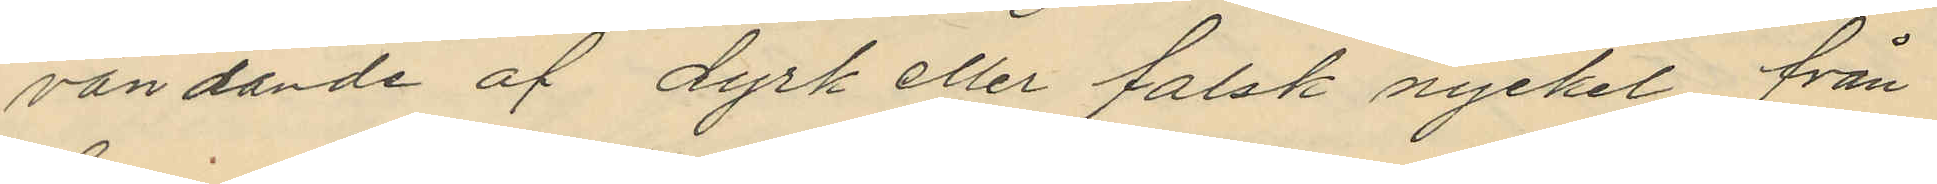vändande af dyrk eller falsk nyckel från
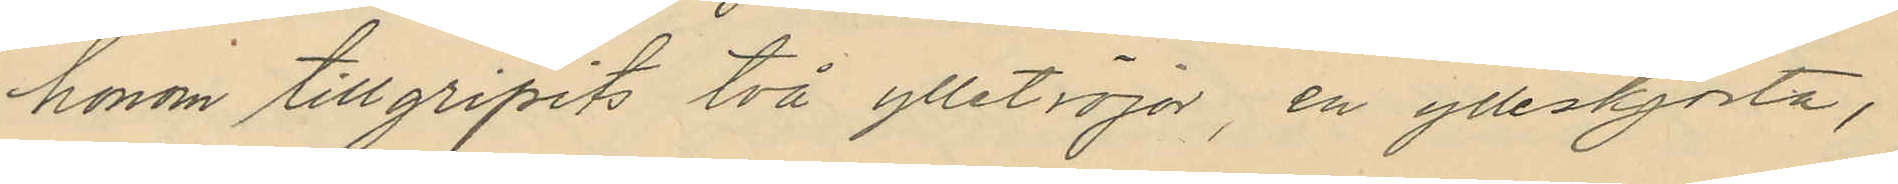honom tillgripits två ylletröjor, en ylleskjorta,
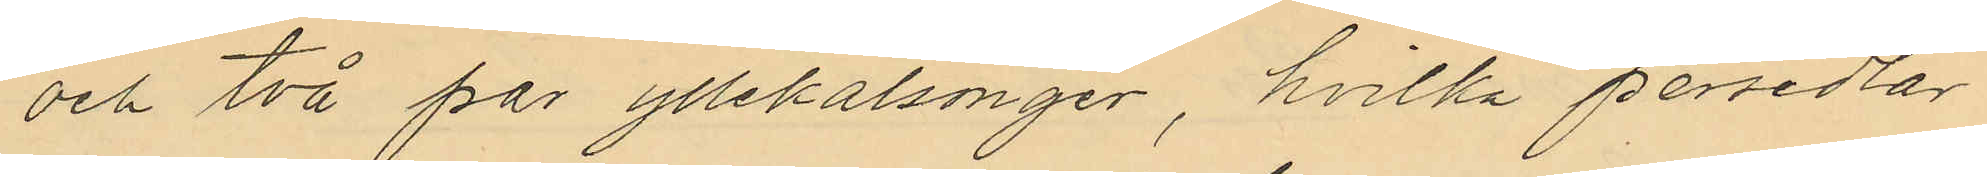och två par yllekalsonger, hvilka persedlar
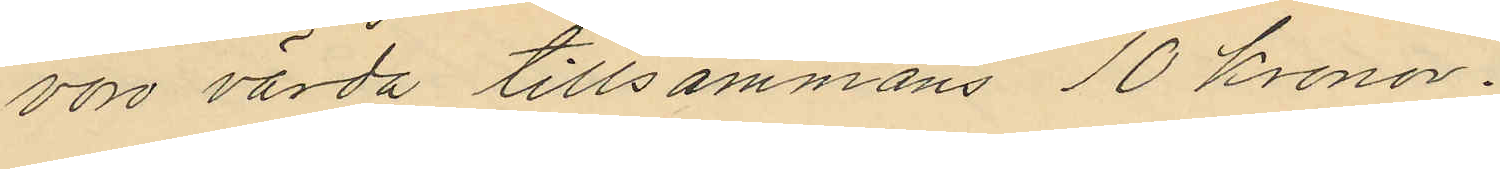voro värda tillsammans 10 kronor.
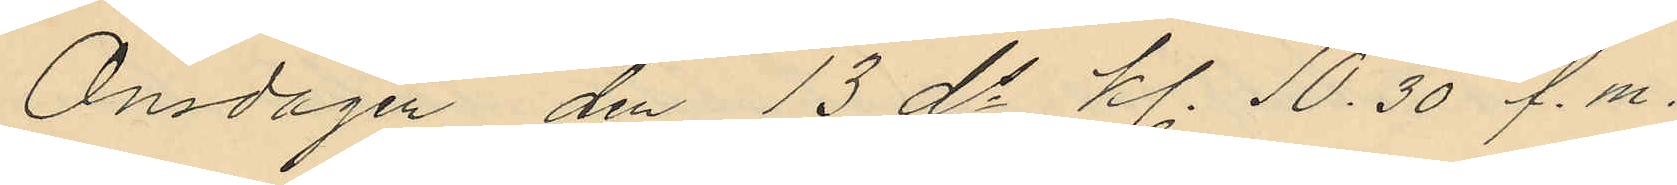Onsdagen den 13 ds kl. 10.30 f.m.
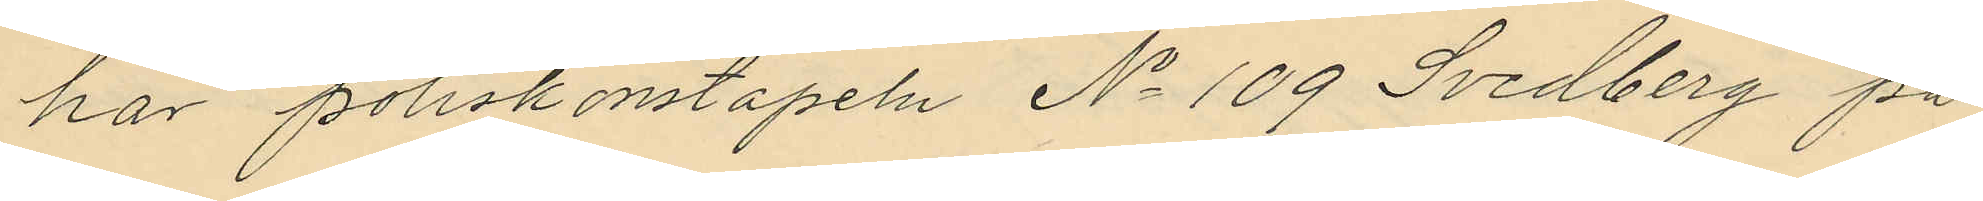har Poliskonstapeln No 109 Svedberg på
